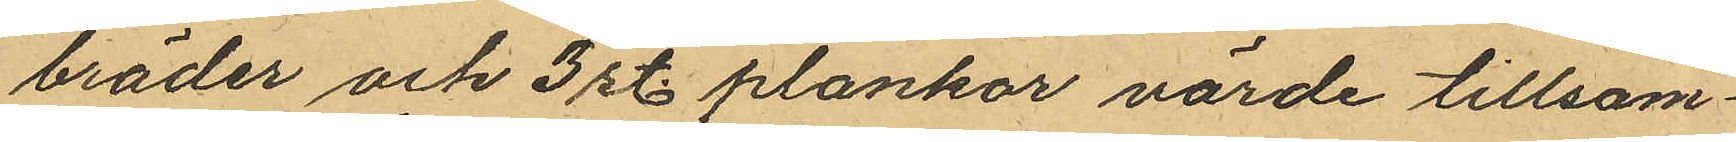bräder och 3 st. plankor värde tillsam¬
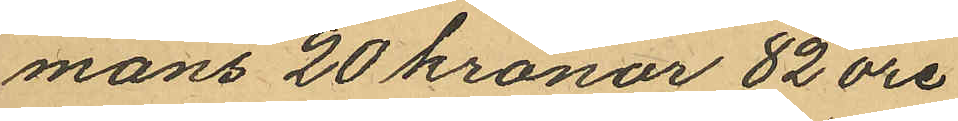mans 20 kronor 82 öre
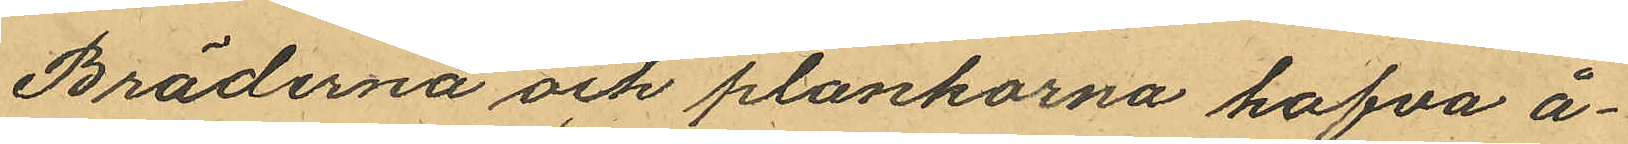Bräderna och plankorna hafva å¬
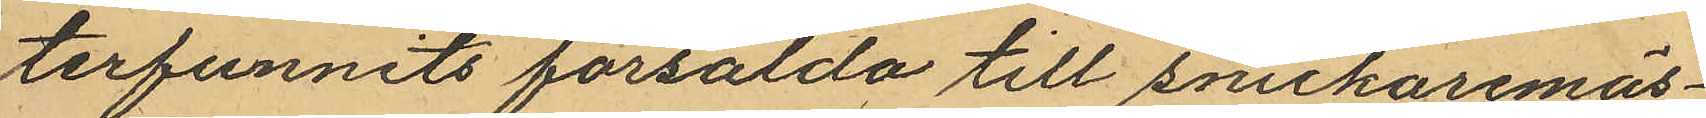terfunnits försålda till snickaremäs¬
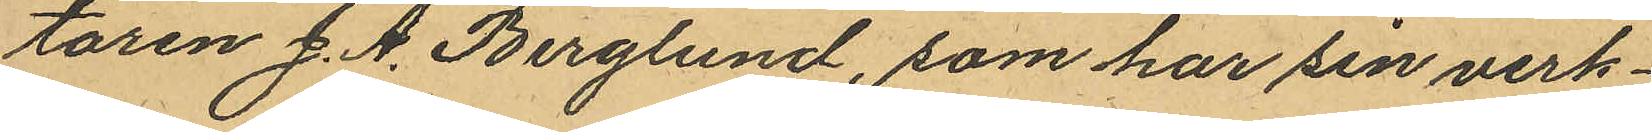taren J. A. Berglund, som har sin verk¬
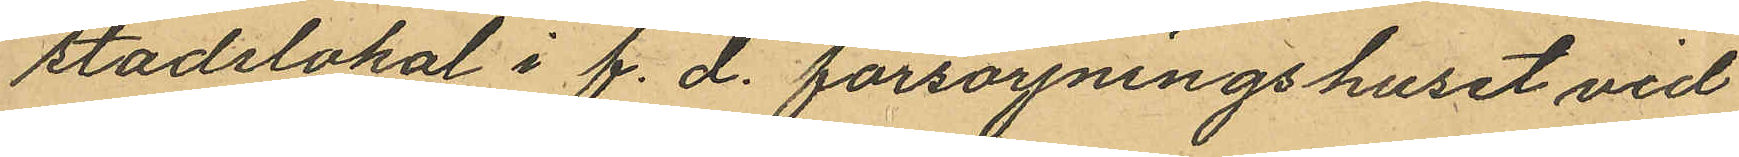stadslokal i f. d. försörjningshuset vid
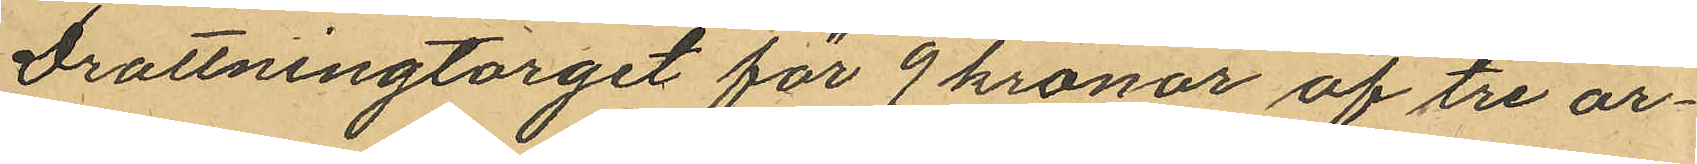Drottningtorget för 9 kronor af tre ar¬
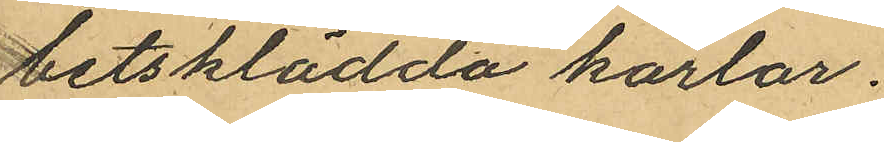betsklädda karlar.
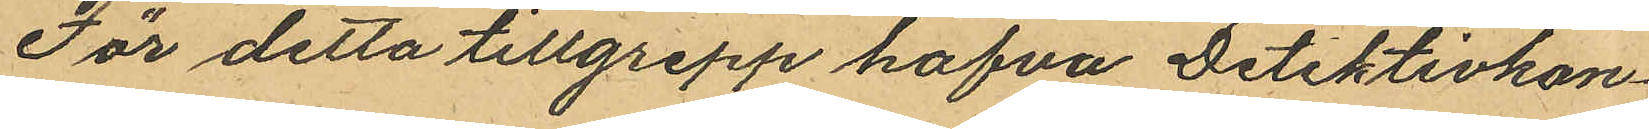För detta tillgrepp hafva Detektivkon¬
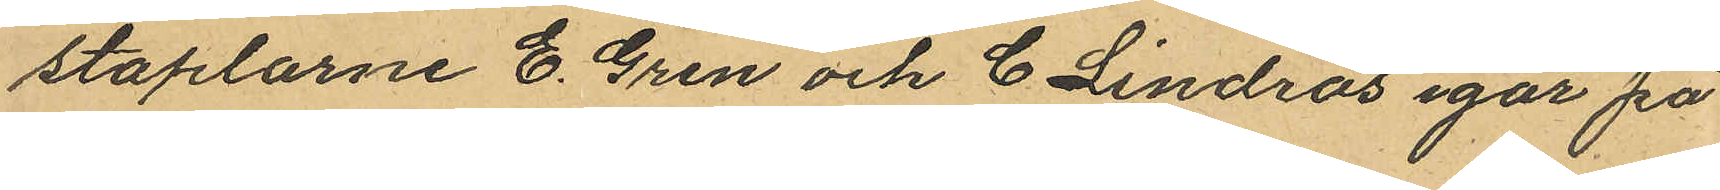staplarne E. Gren och C. Lindros igår på
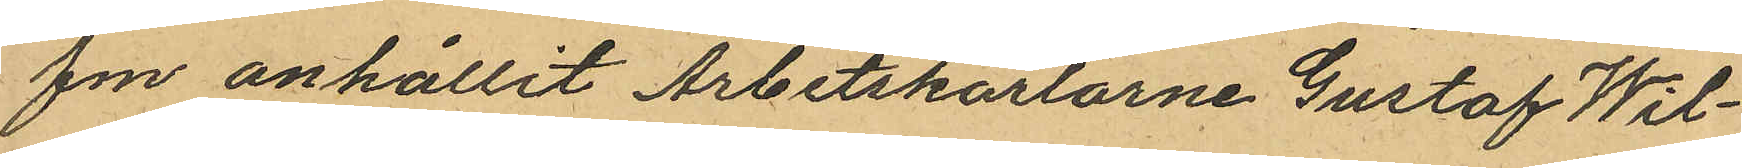fm anhållit Arbetskarlarne Gustaf Wil¬
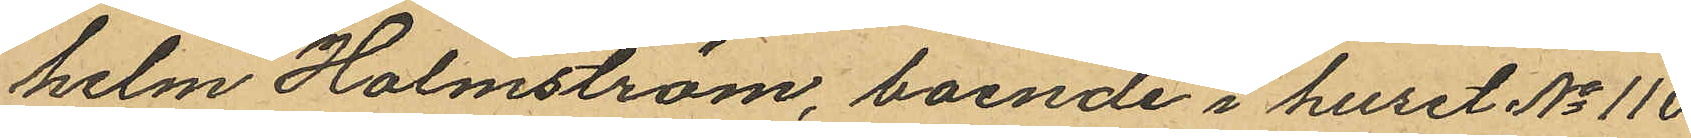helm Holmström, boende i huset No 110
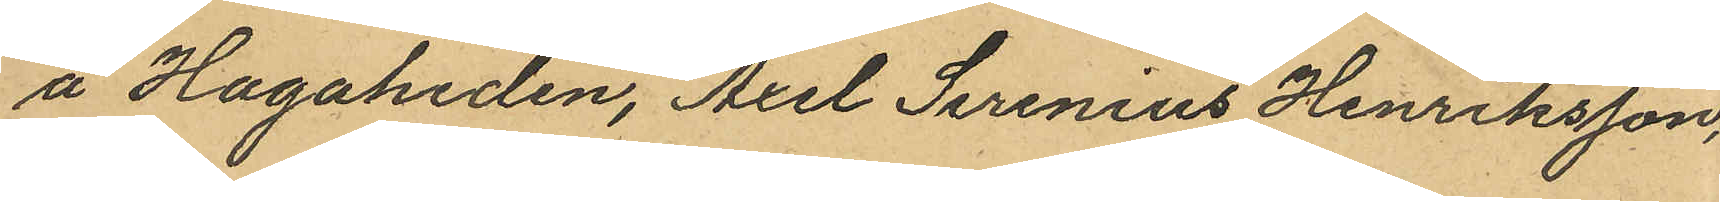å Hagaheden, Axel Serenius Henriksson,
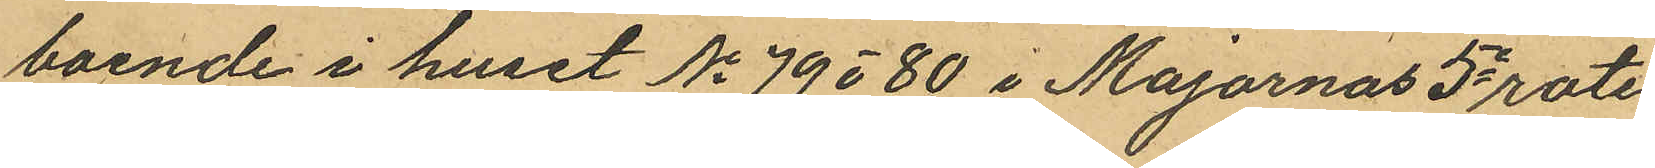boende i huset No 79 o 80 i Majornas 5e rote
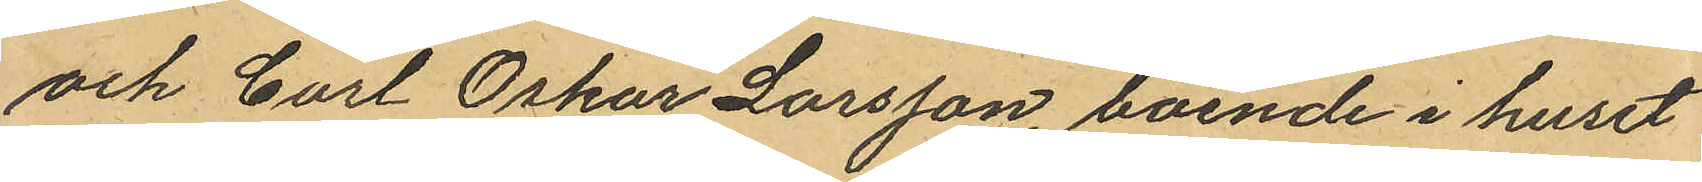och Carl Oskar Larsson, boende i huset
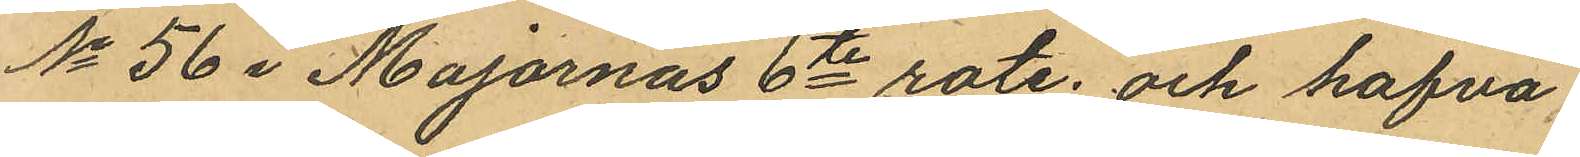No 56 i Majornas 6te rote, och hafva
